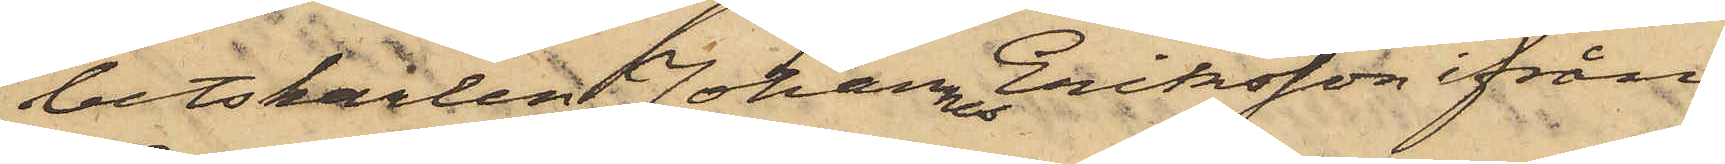betskarlen Johannes Eriksson ifrån
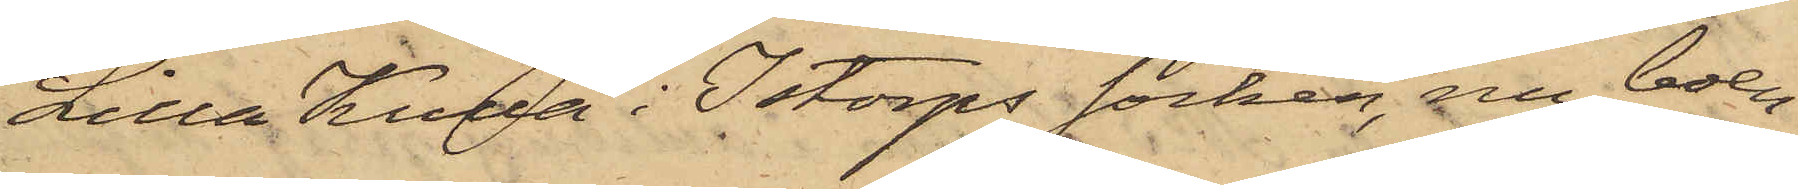Lilla Kulla i Istorps socken, nu boen¬
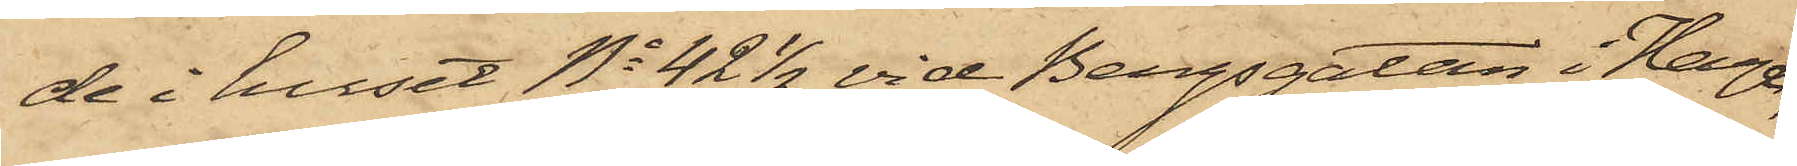de i huset No 42 1/2 vid Bergsgatan i Haga;
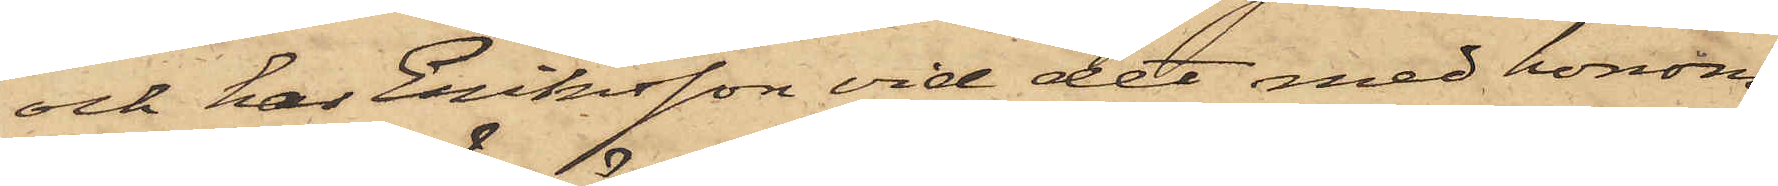och har Eriksson vid det med honom
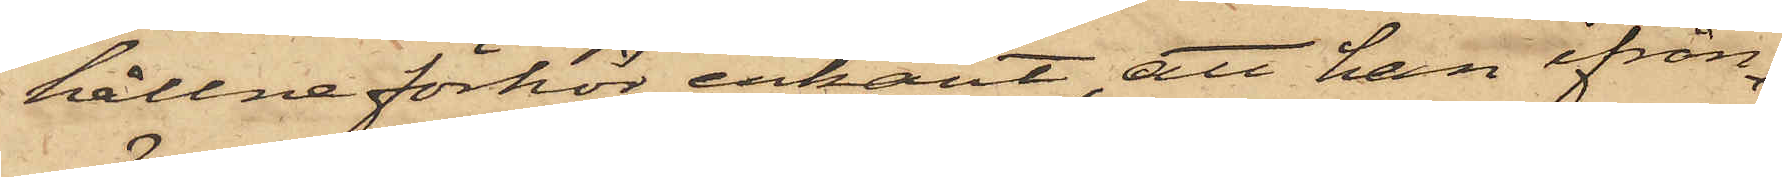hållne förhör erkänt, att han ifrån
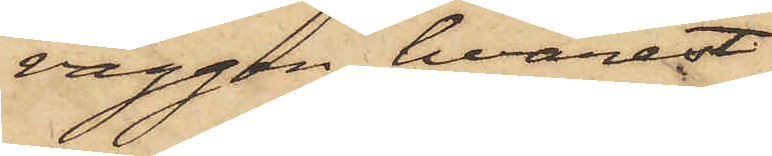väggen, hvarest
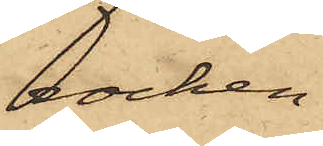rocken
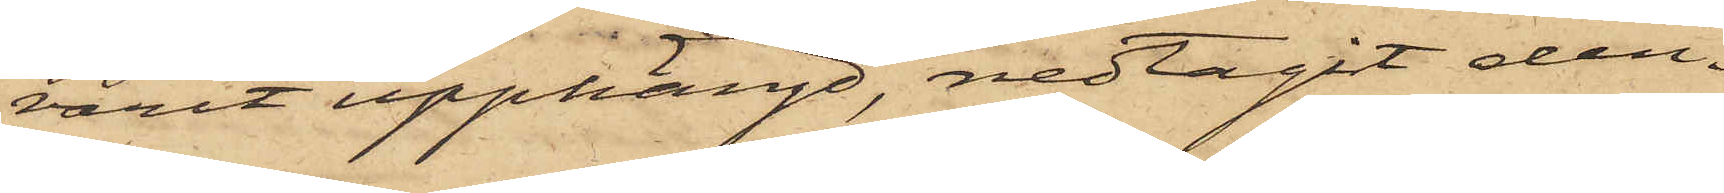varit upphängd, nedtagit den¬
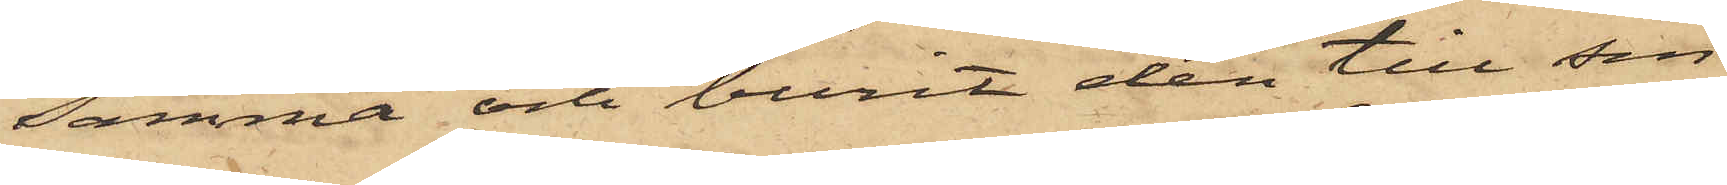samma och burit den till sin
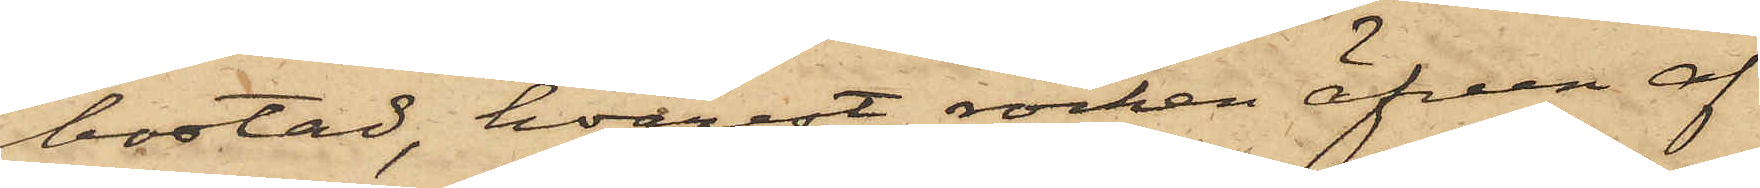bostad, hvarest rocken äfven af
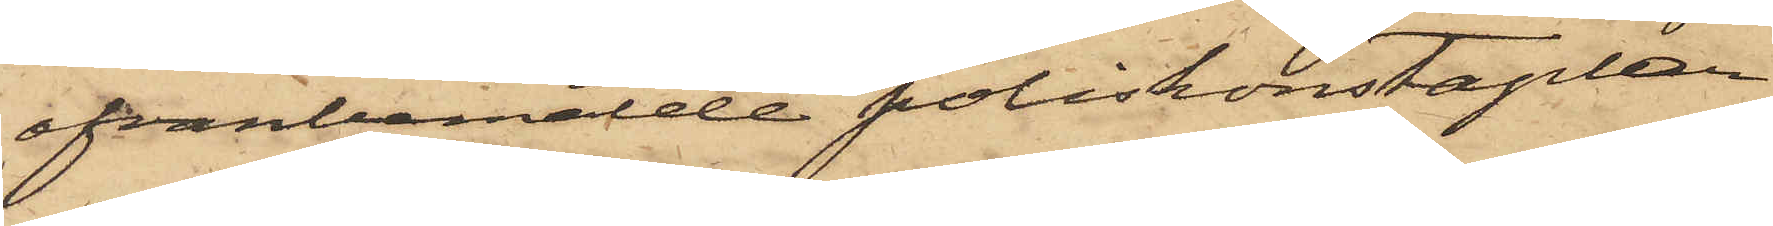ofvanbemälde poliskonstaplar
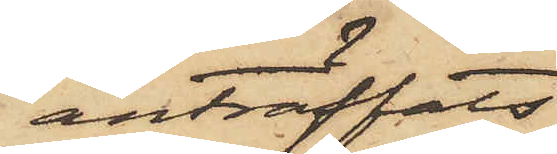anträffats
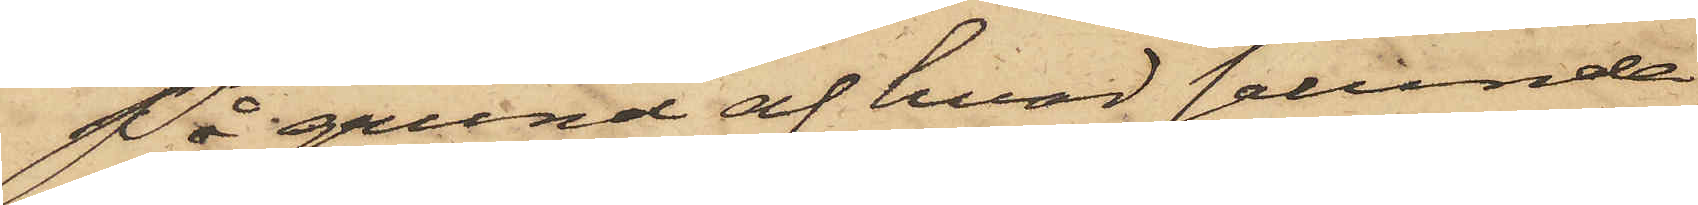På grund af hvad sålunda
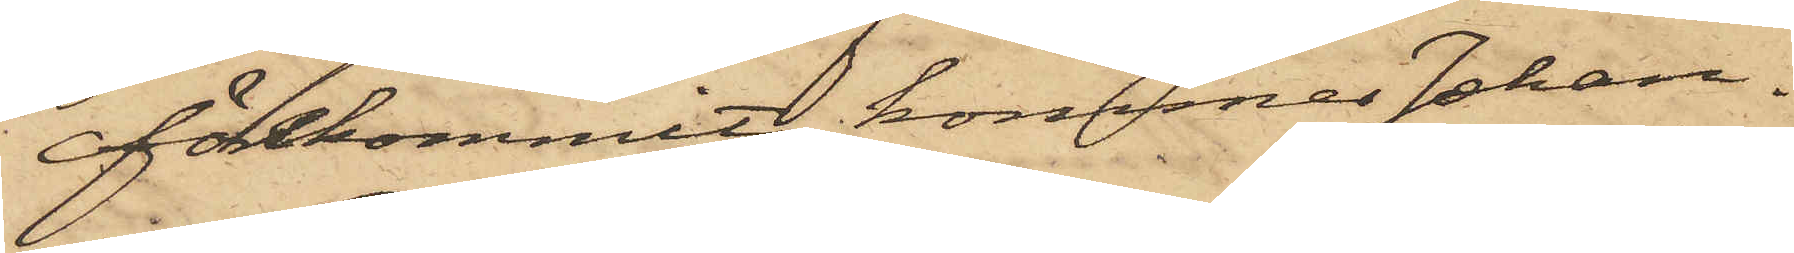förekommit, kommer Johan¬
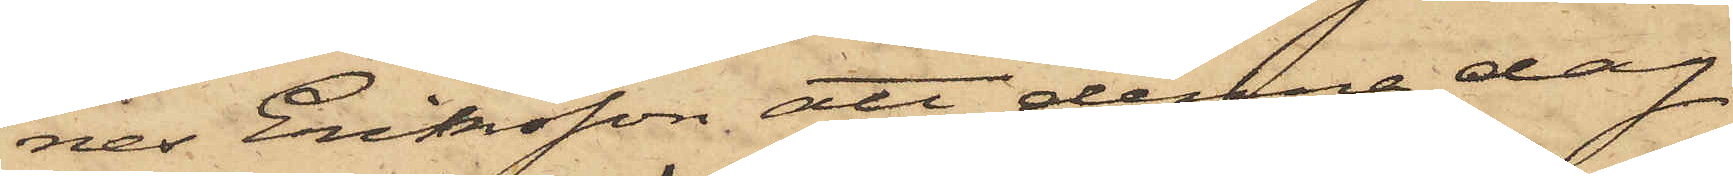nes Eriksson, att denna dag
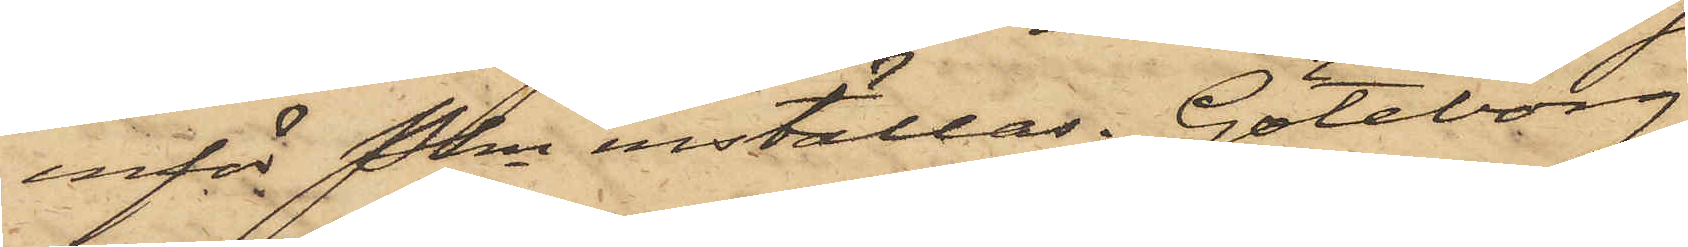inför Pkn inställas. Göteborg
